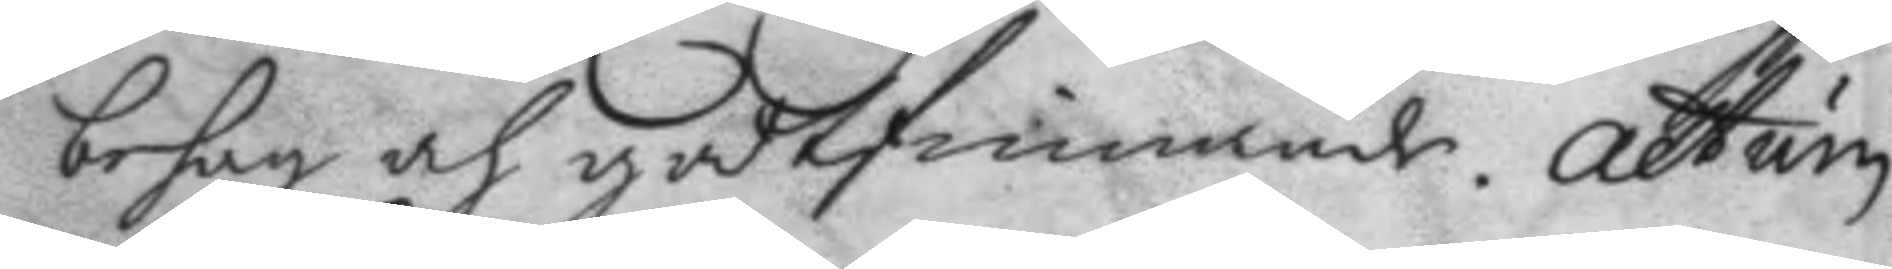behag och godtfinnande. Actum
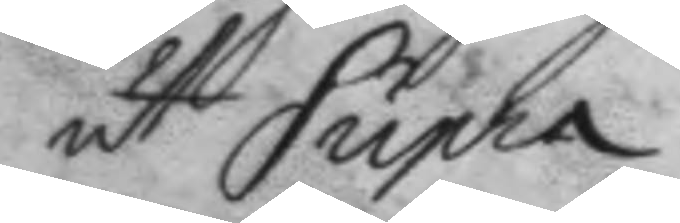ut Supra.
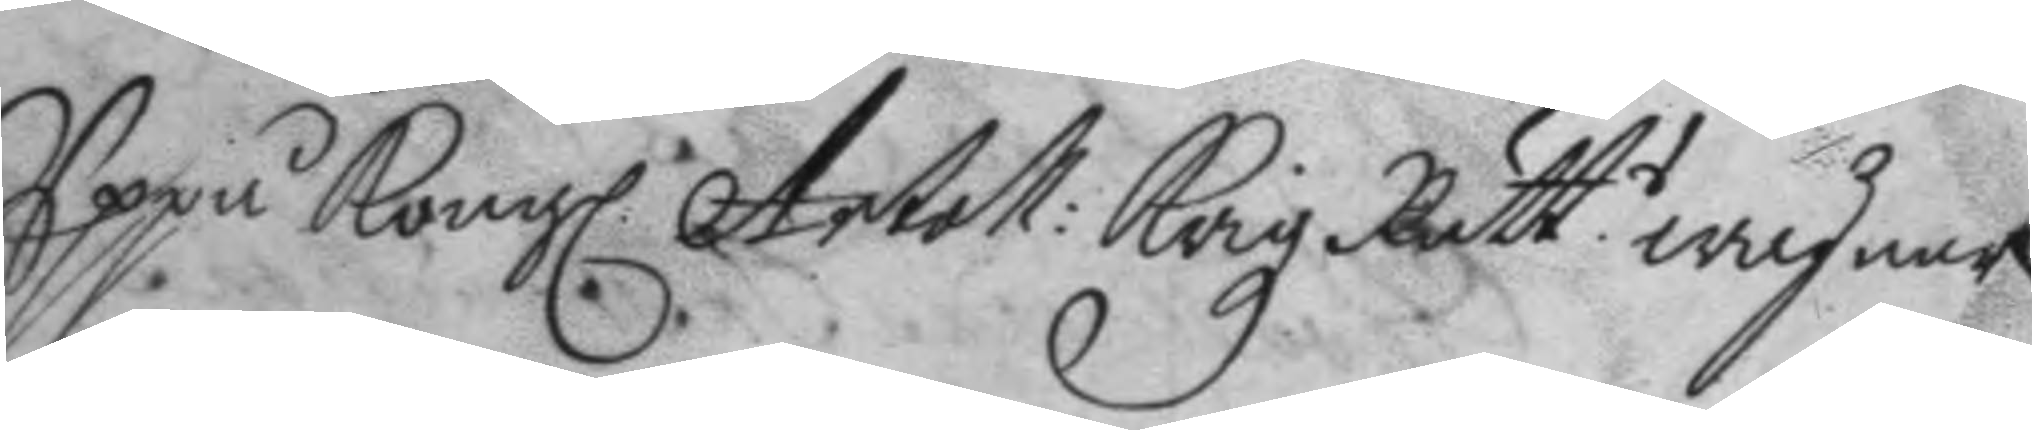Uppå Kongl. Artoll: Krigz Rätt.s wägnar
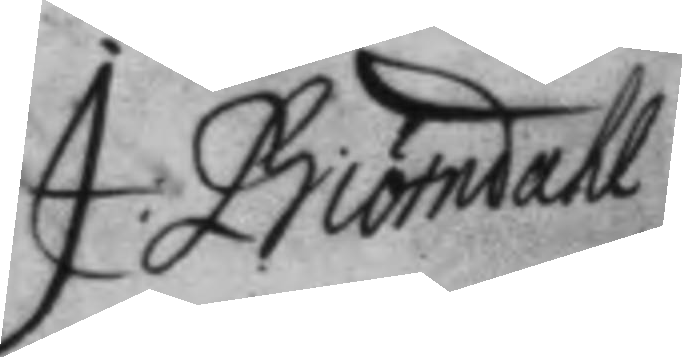J Biörndahl
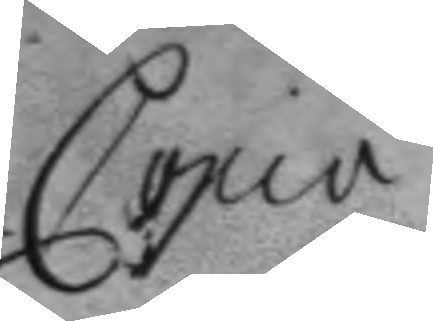Copia	
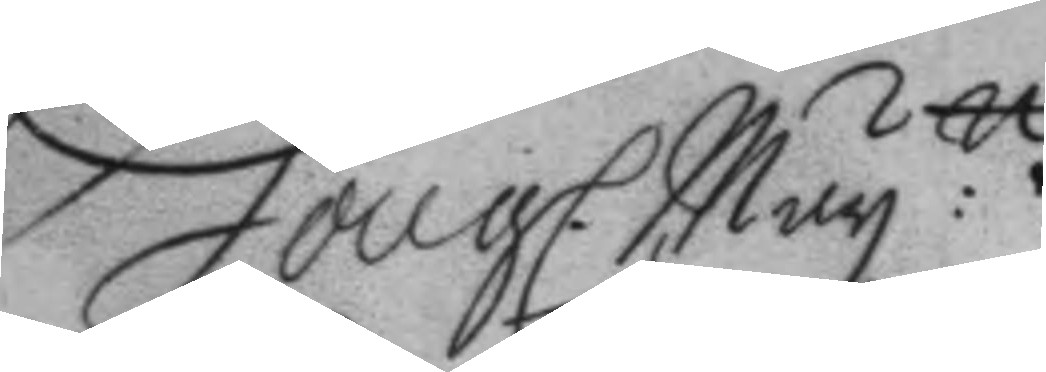Kongl. May:ttz
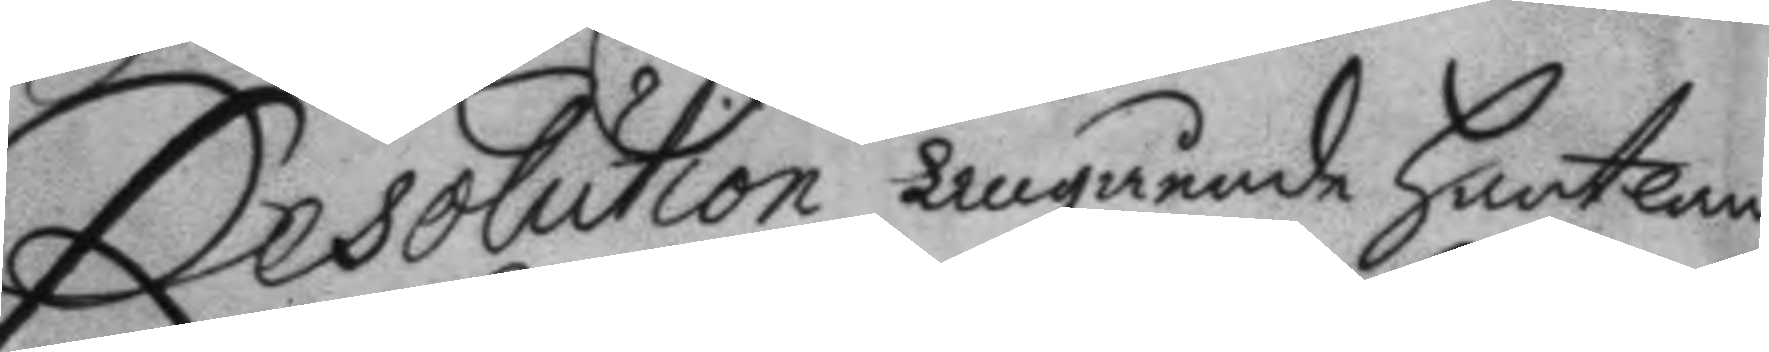Resolution angående hantlan¬
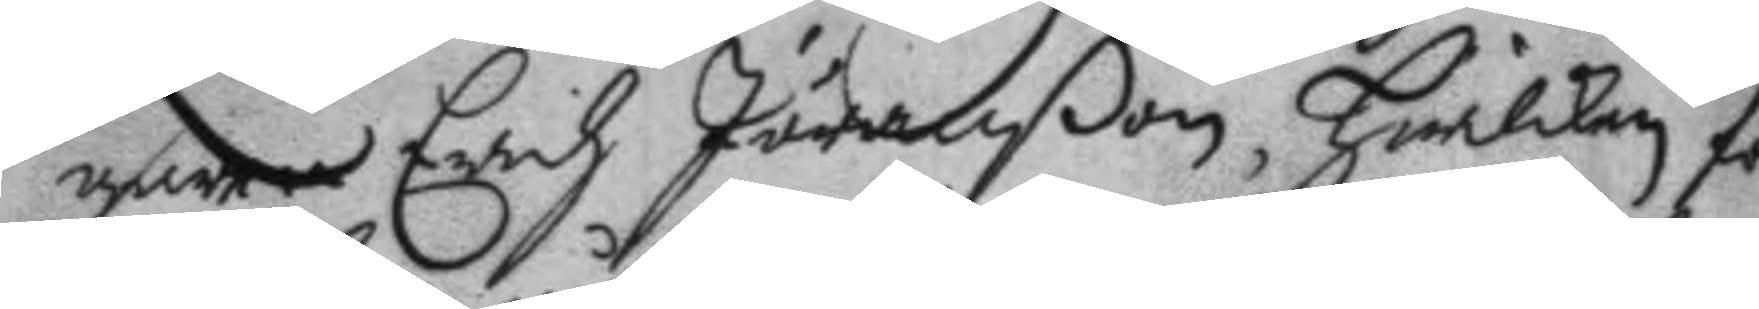garen Erich Jöranßon, hwilken för
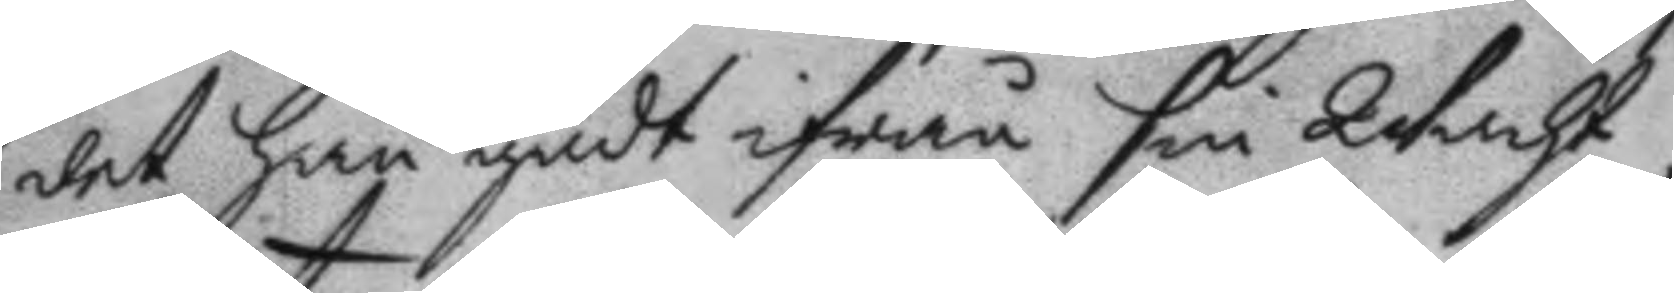det han gådt ifrån sin Wacht,
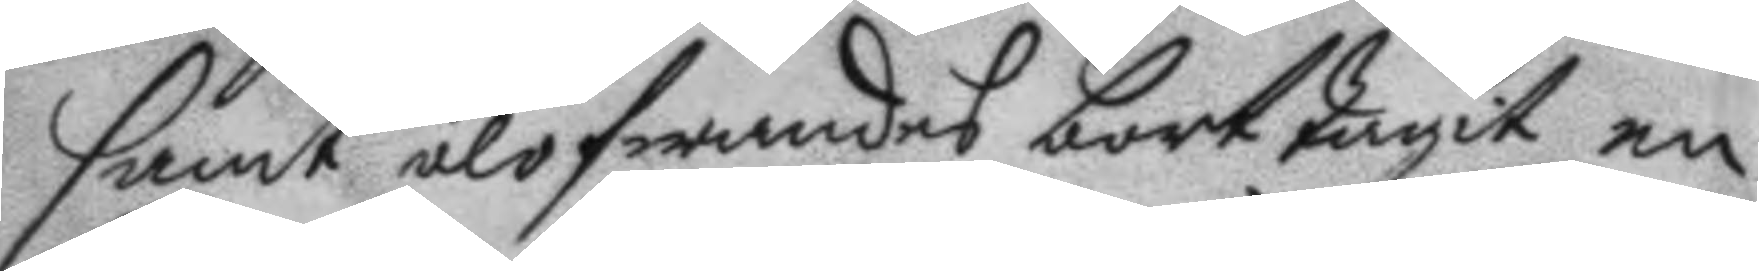samt olofwandes borttagit en
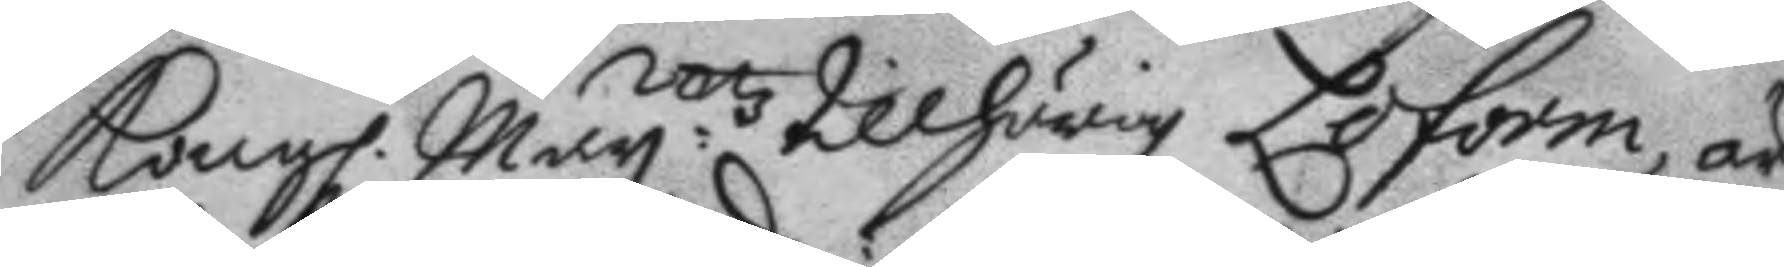Kongl. May:ttz tillhörig Loform, är
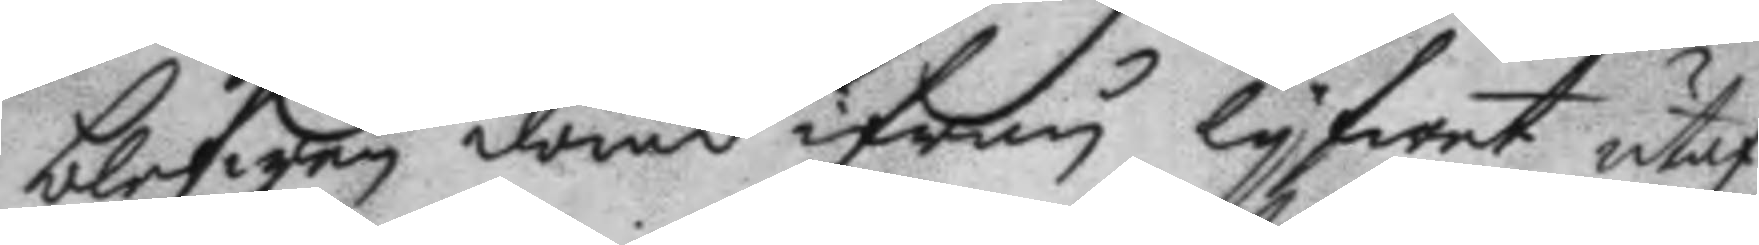blefwen dömd ifrån lyfwet utaf
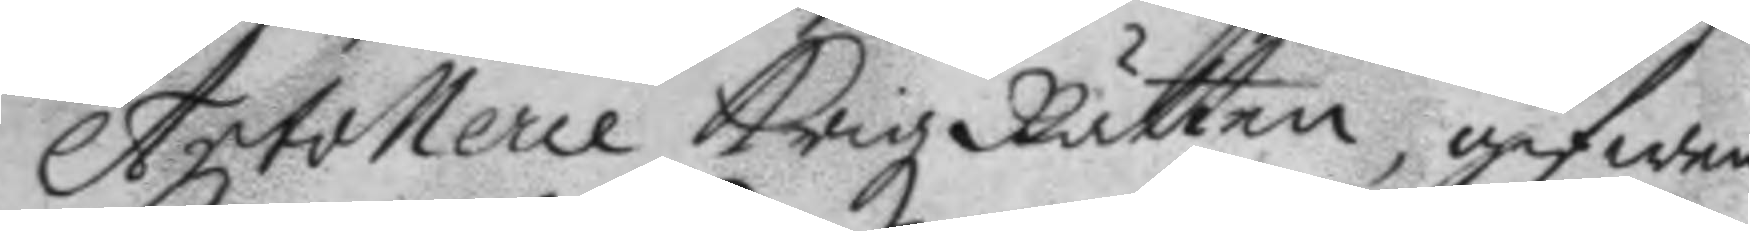Artollerie Krigz Rätten, gifwen
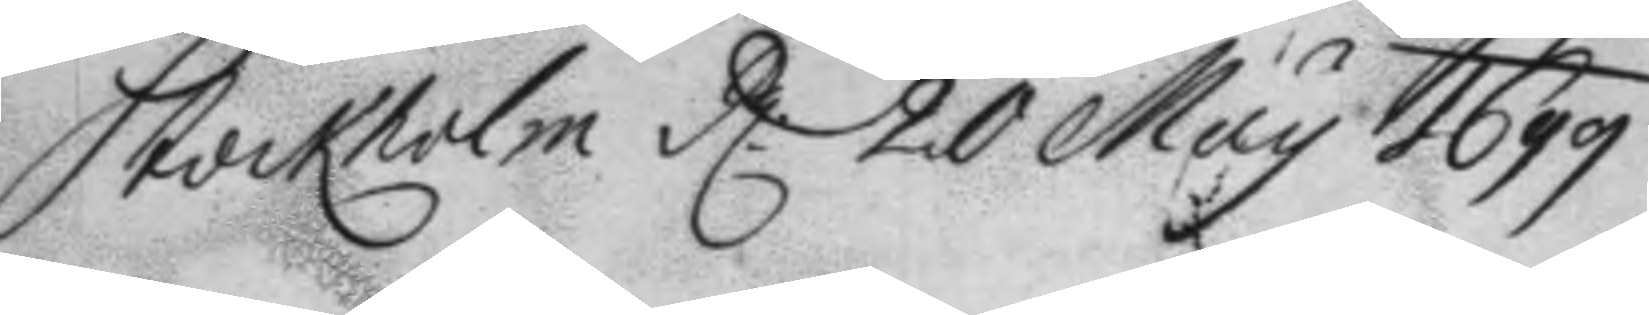Stockholm d: 20 May 1699.
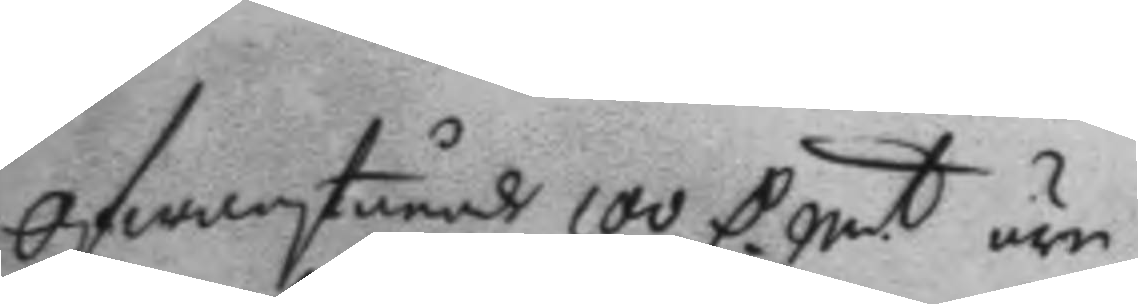Ofwanstående 100 C. Smt äre
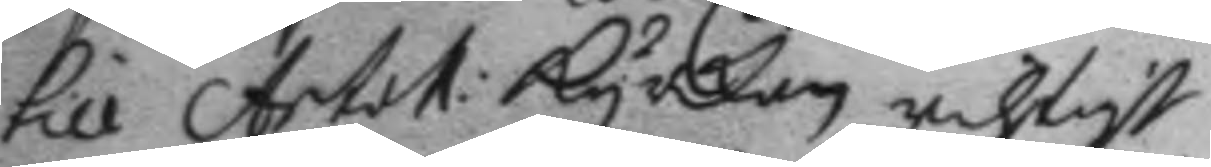till Artoll: kyrkan richtigt
